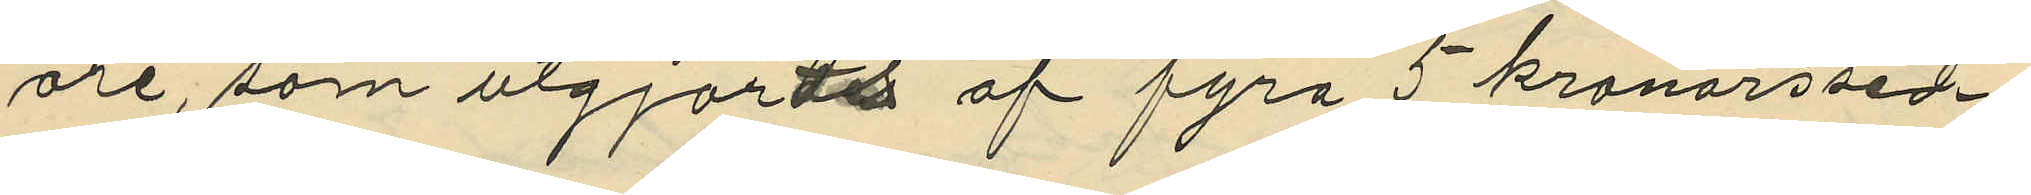öre, som utgjorts af fyra 5 kronorssed¬
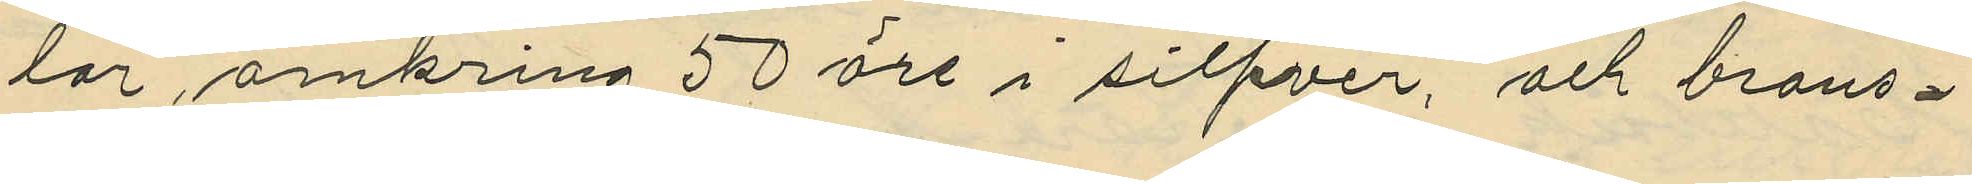lar, omkring 50 öre i silfver, och brons¬
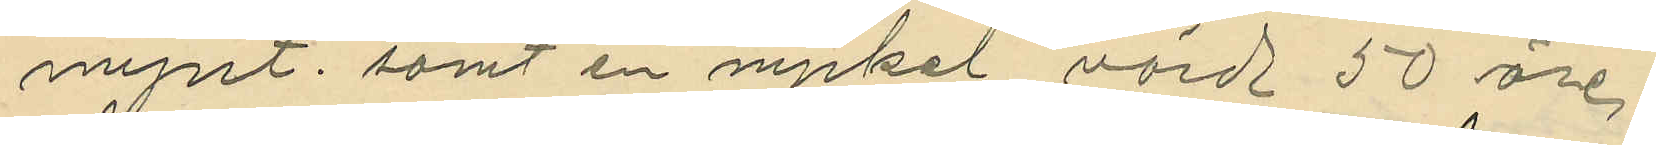mynt; samt en nyckel värd 50 öre.
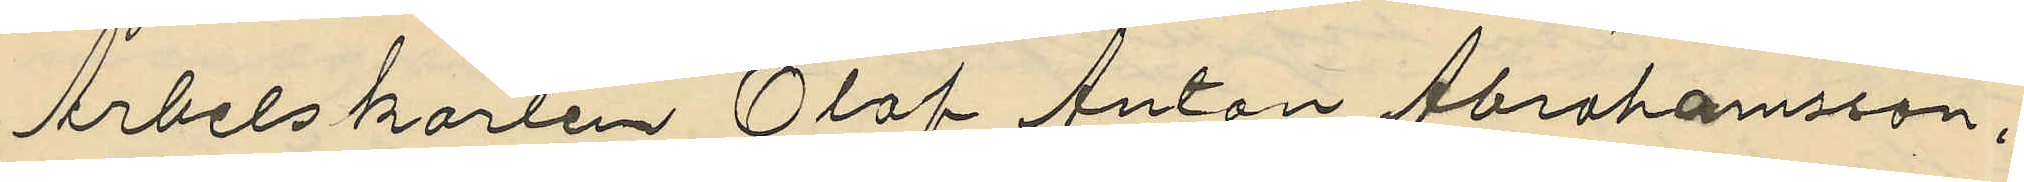Arbetskarlen Olof Anton Abrahamsson,
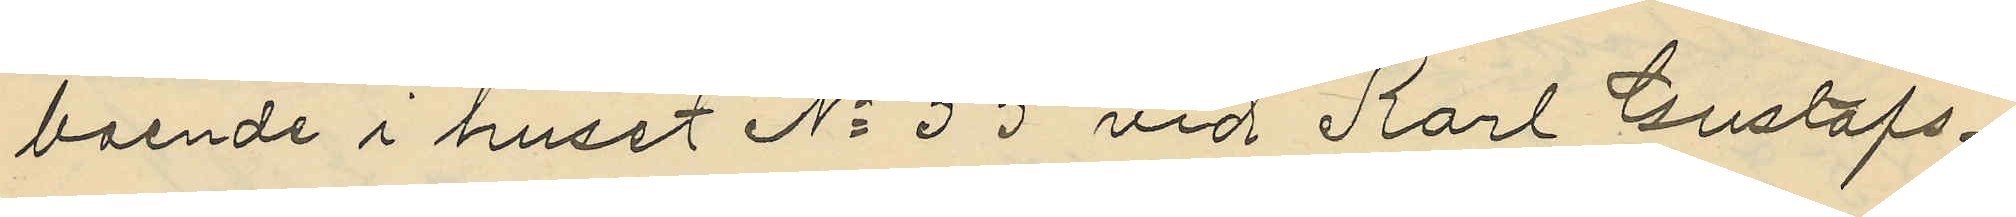boende i huset No 55 vid Karl Gustafs¬
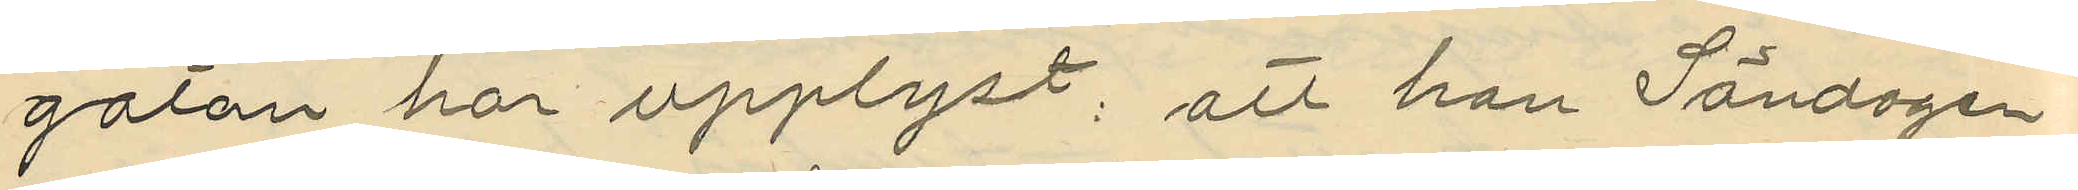gatan har upplyst; att han Söndagen
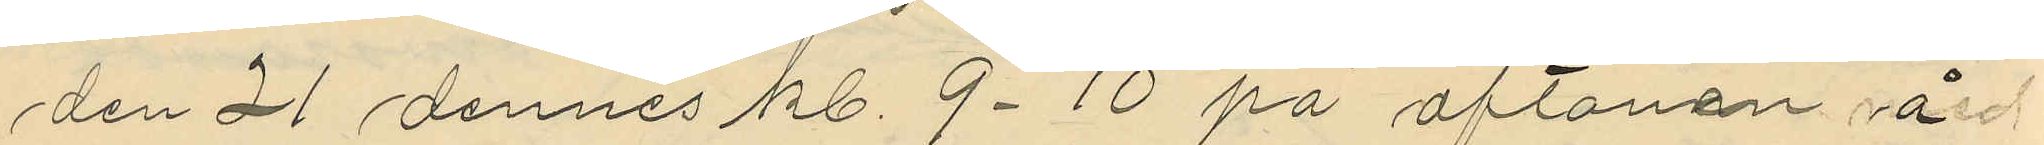den 21 dennes kl. 9-10 på aftonen å
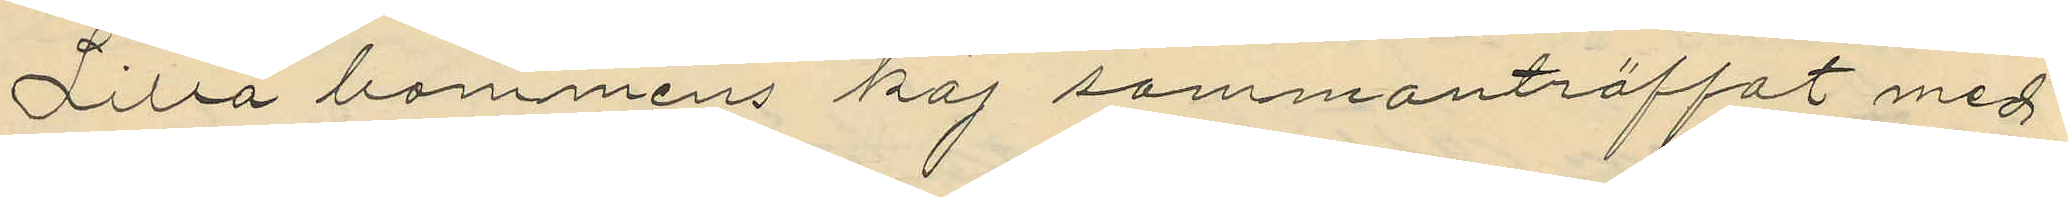Lilla bommens kaj sammanträffat med
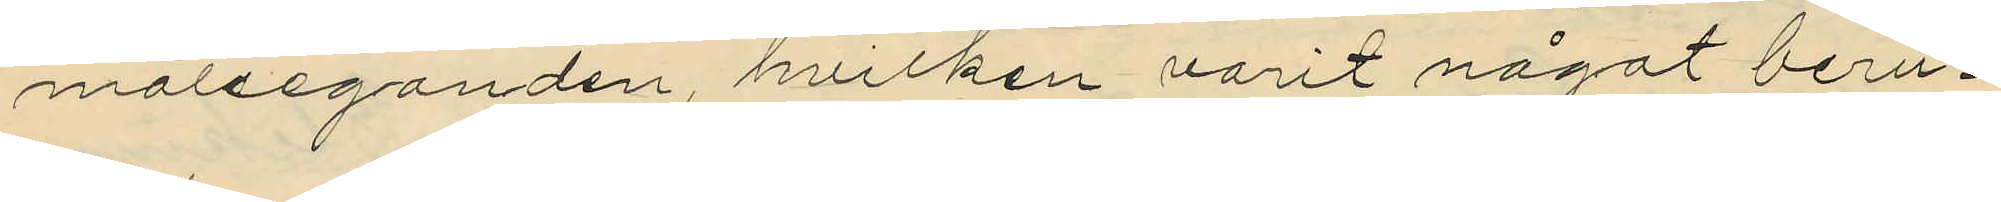målseganden, hvilken varit något beru¬
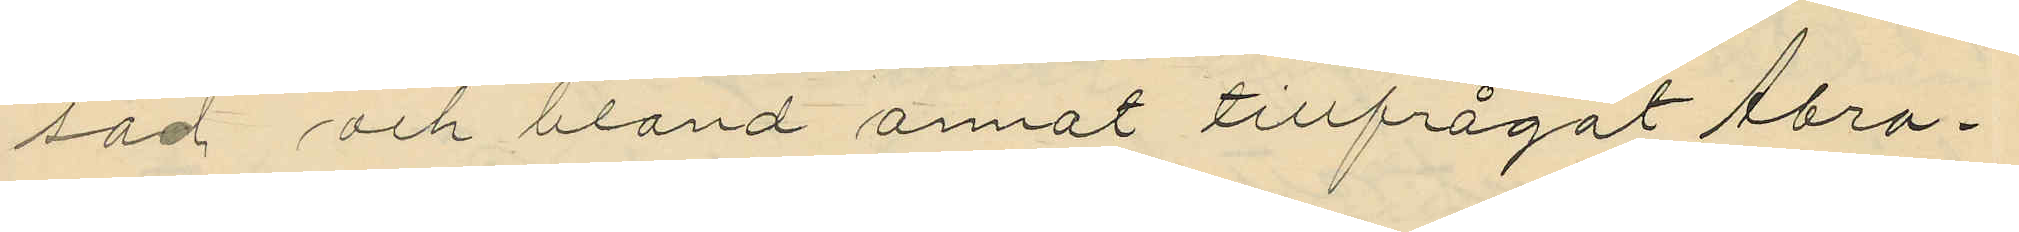sad och bland annat tillfrågat Abra¬
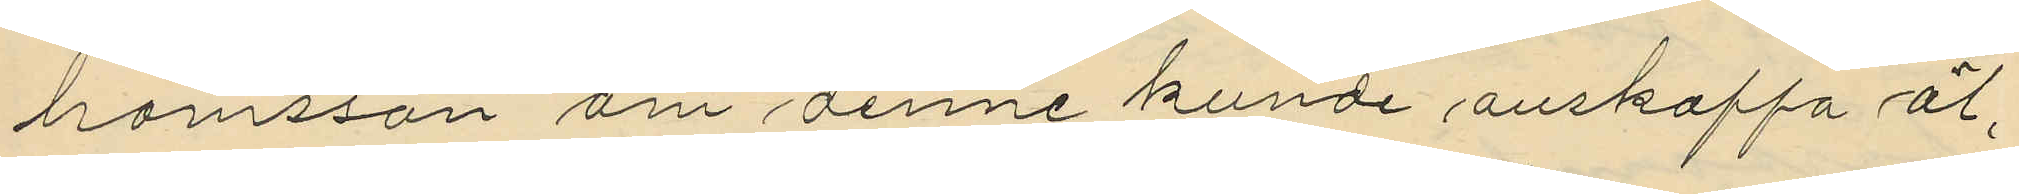hamsson om denne kunde anskaffa öl,
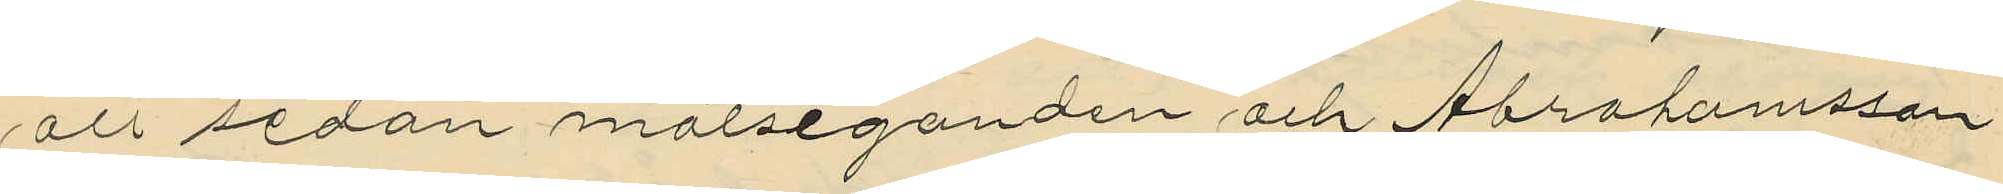att sedan målseganden och Abrahamsson
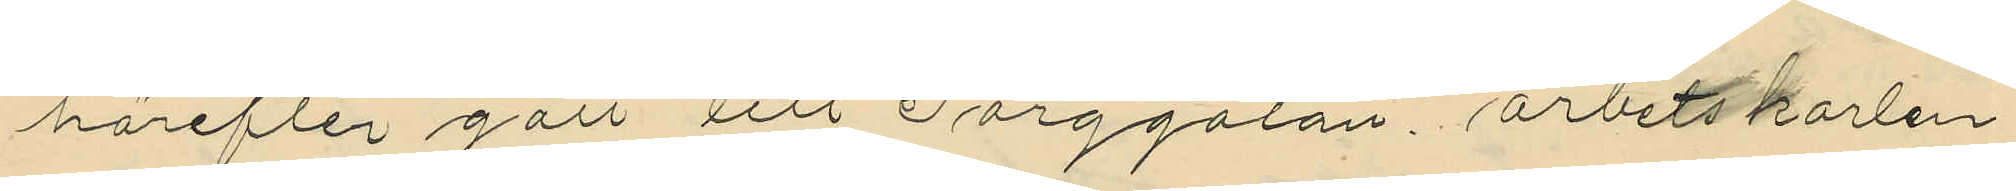härefter gått till Torggatan, arbetskarlen
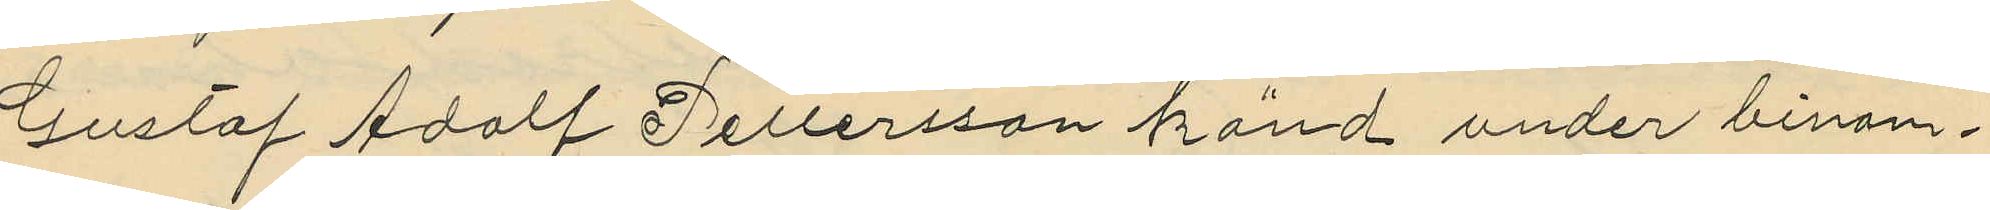Gustaf Adolf Pettersson känd under binam¬
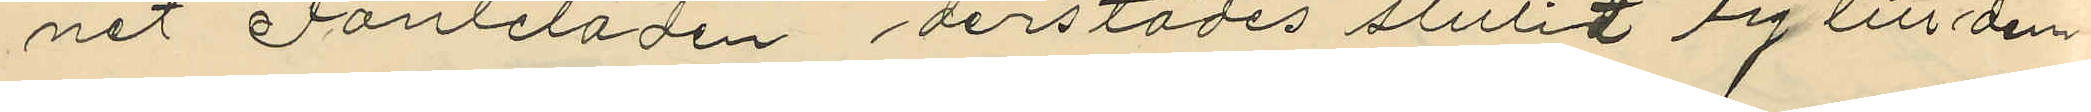nat Fanleladen derstädes slutit sig till dem
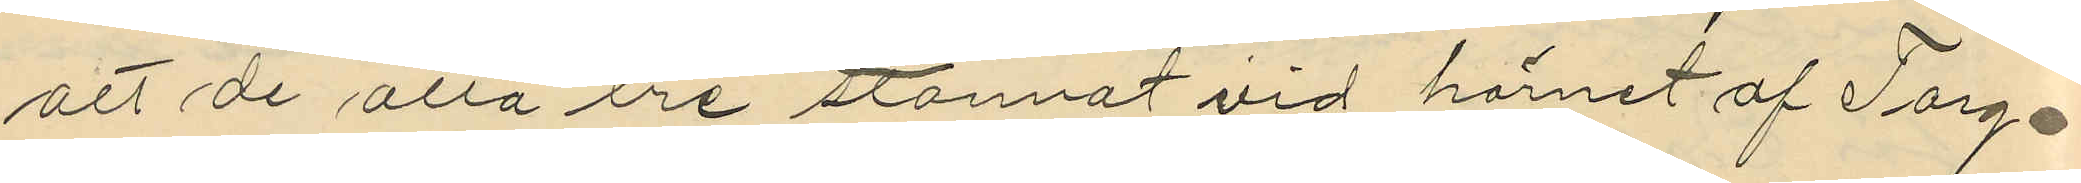att de alla tre stannat vid hörnet af Torg-
